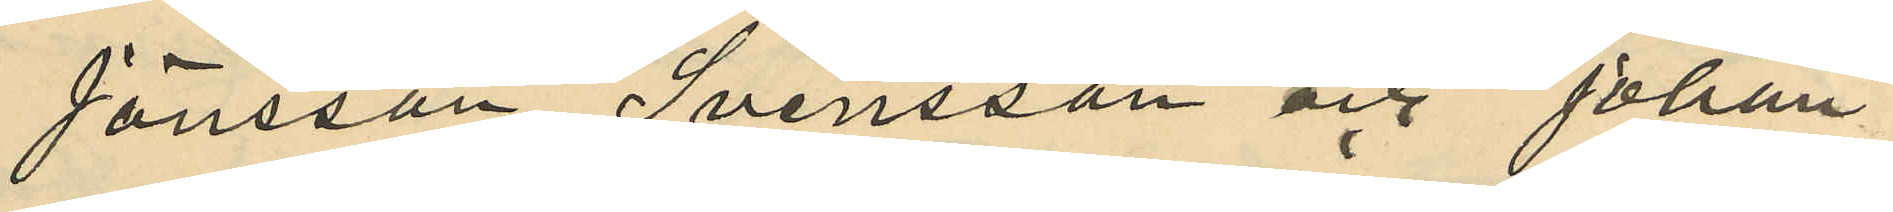Jönsson Svensson och Johan
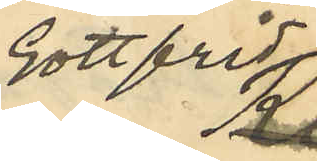Gottfrid
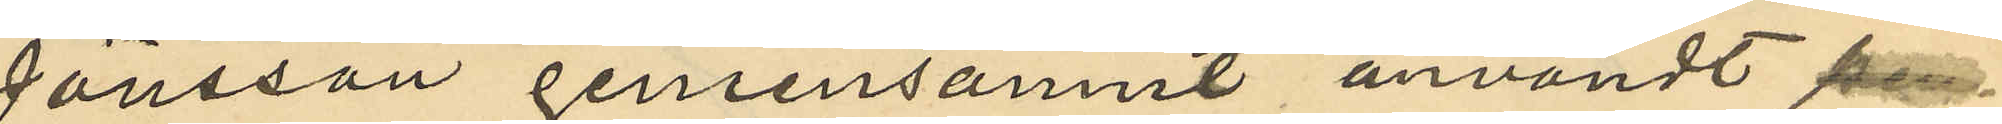Jönsson gemensamnt användt 
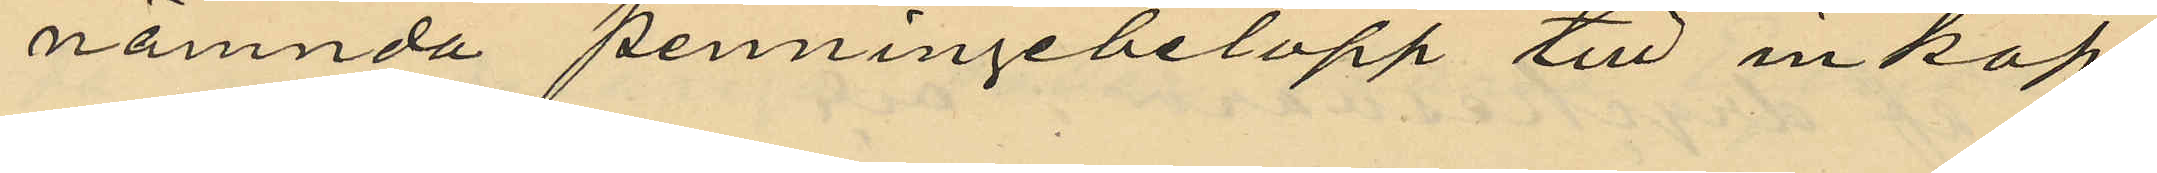nämnda penningebelopp till inköp
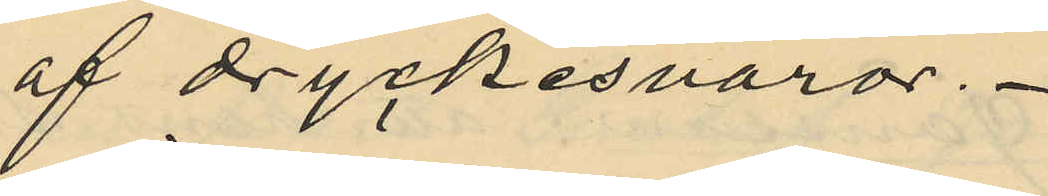af dryckesvaror.
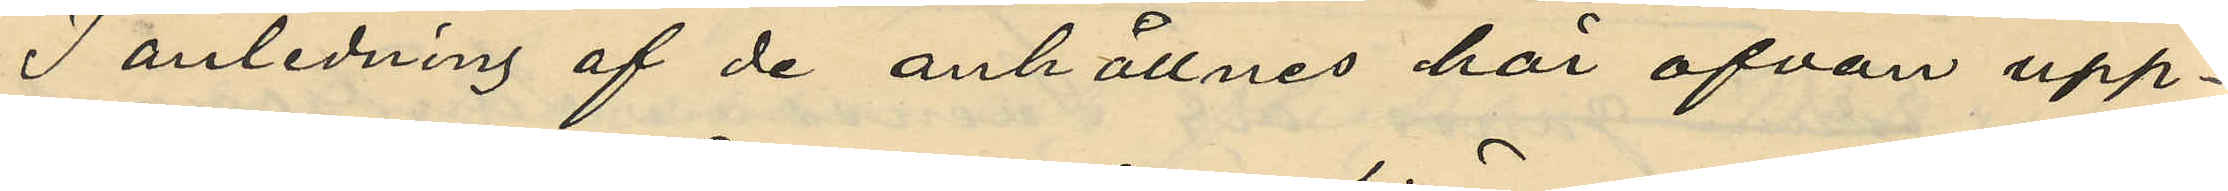I anledning af de anhållnes här ofvan upp¬
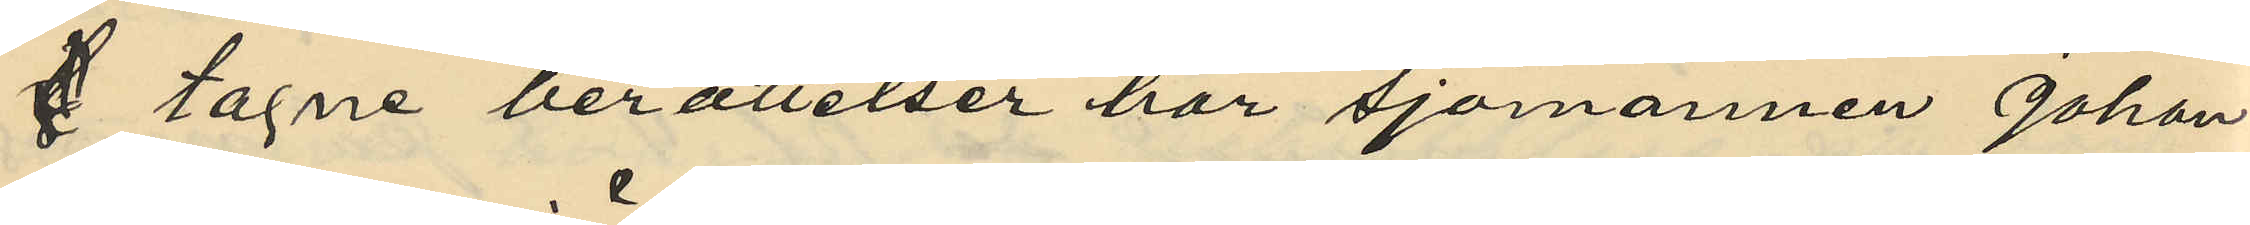 tagne berättelser har sjömannen Johan
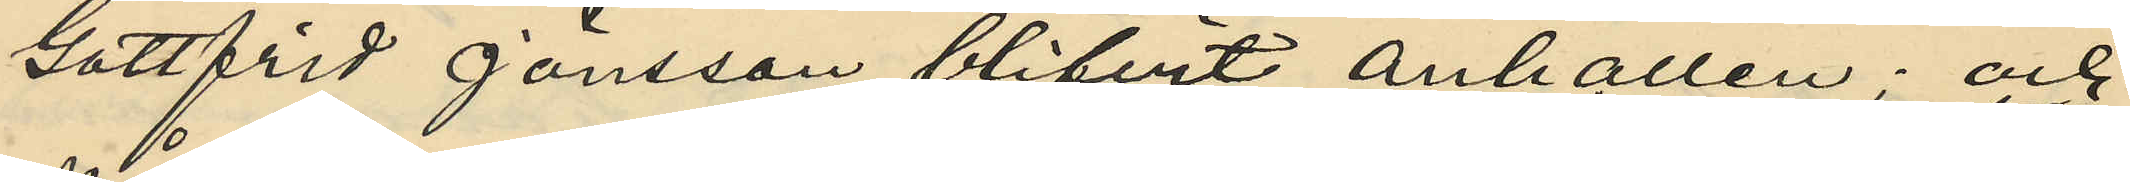Gottfrid Jönsson blifvit anhållen; och
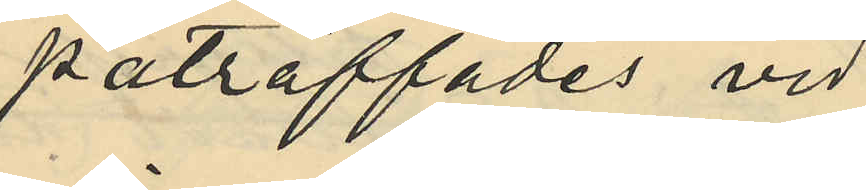påträffades vid
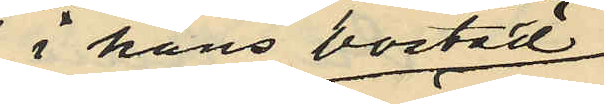i hans bostad
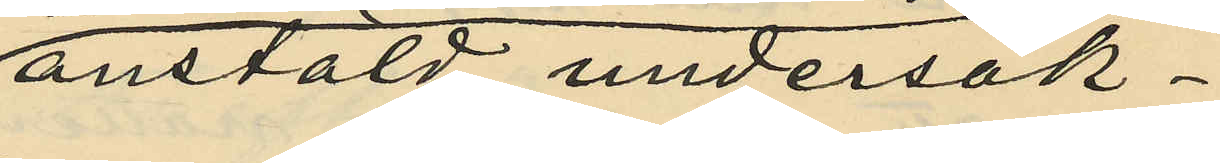anstäld undersök¬
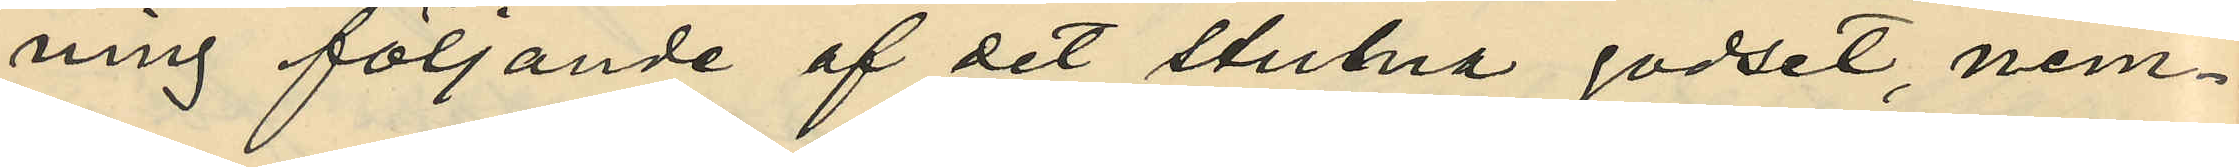ning följande af det stulna godset nem¬
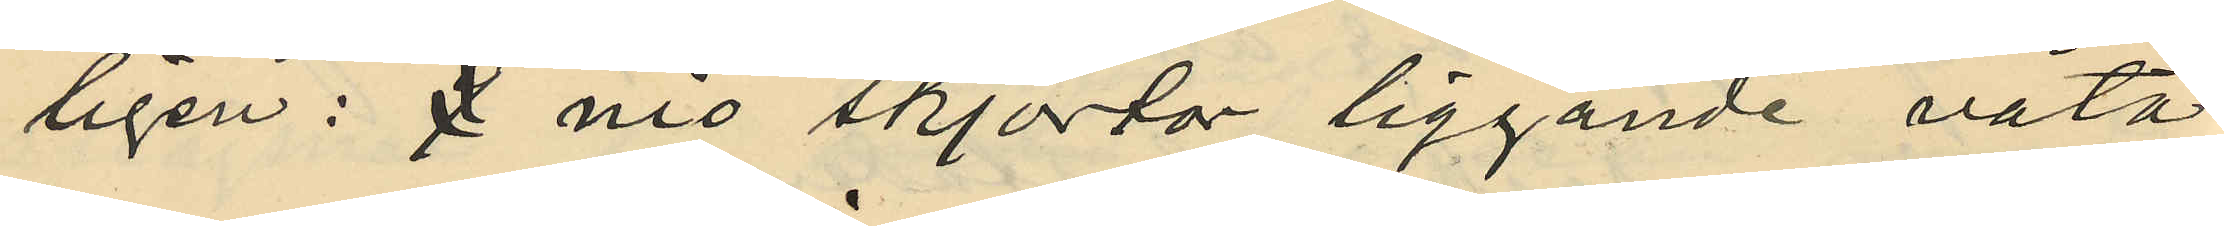ligen: 9 nio skjortor liggande våta
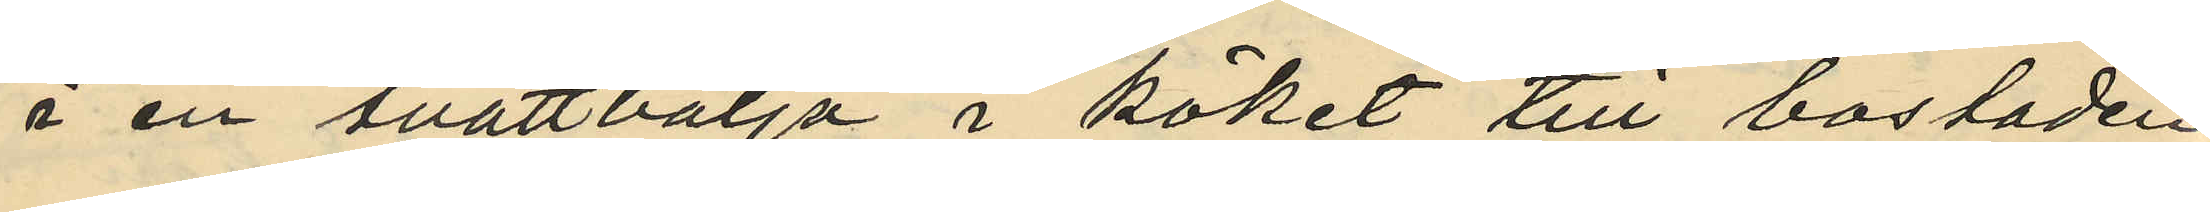å en tvättbalja i köket till bostaden
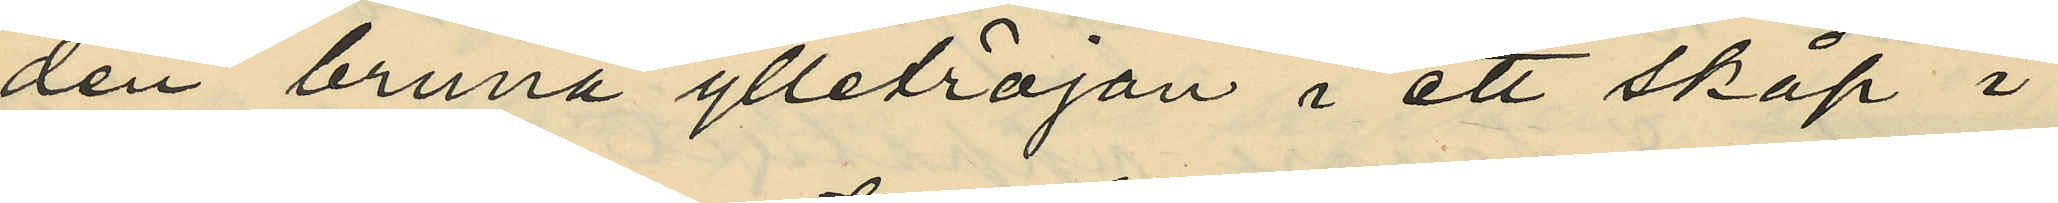den bruna ylletröjan i ett skåp i
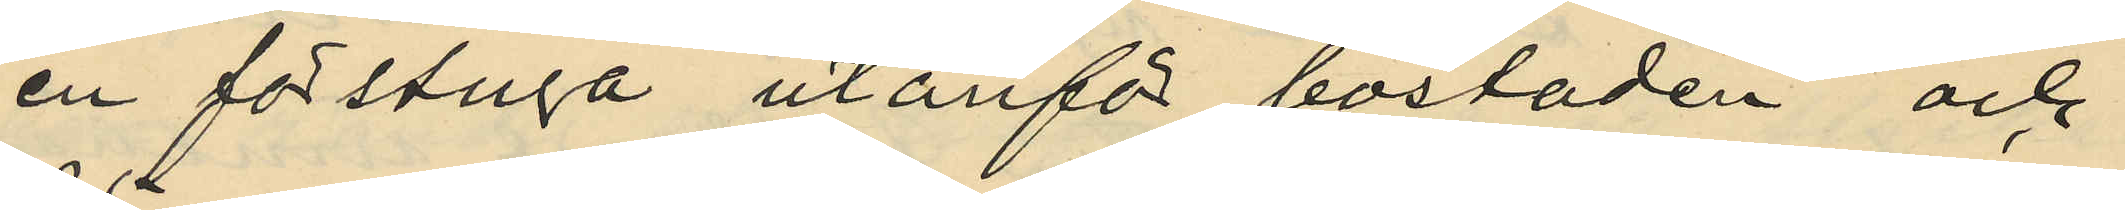en förstuga utanför bostaden och
